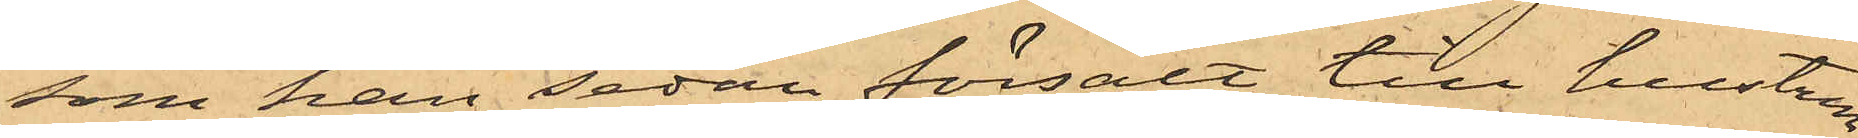som han sedan försålt till hustrun
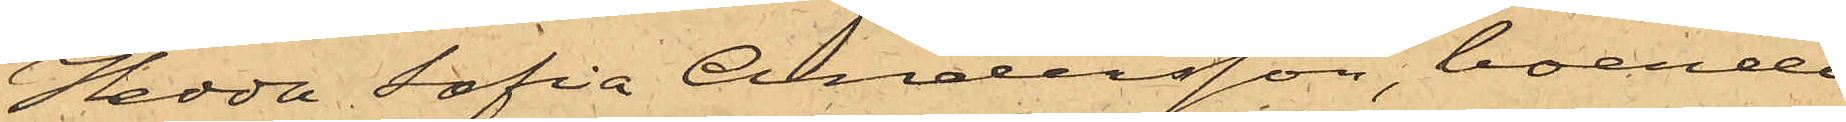Hedda Sofia Andersson, boende
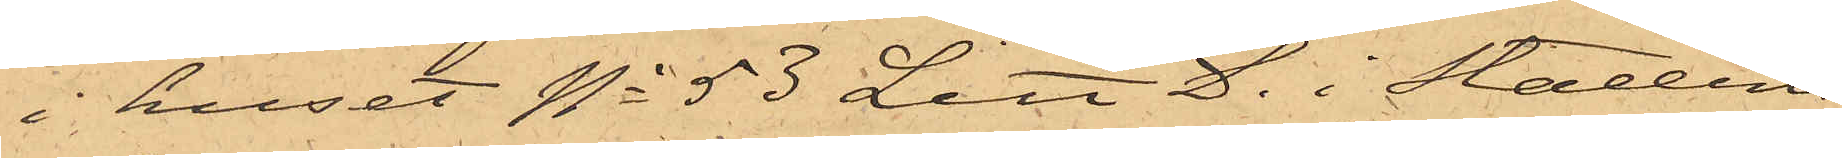i huset No 53 Litt. D. i Stadens
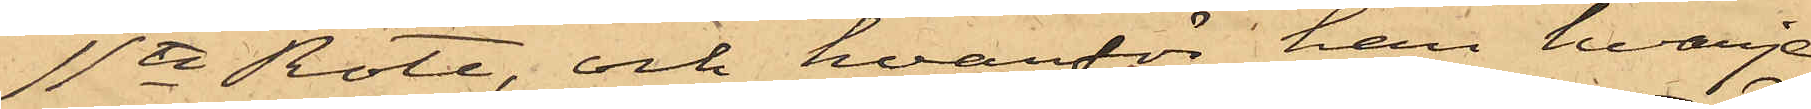11te Rote, och hvarför han hvarje
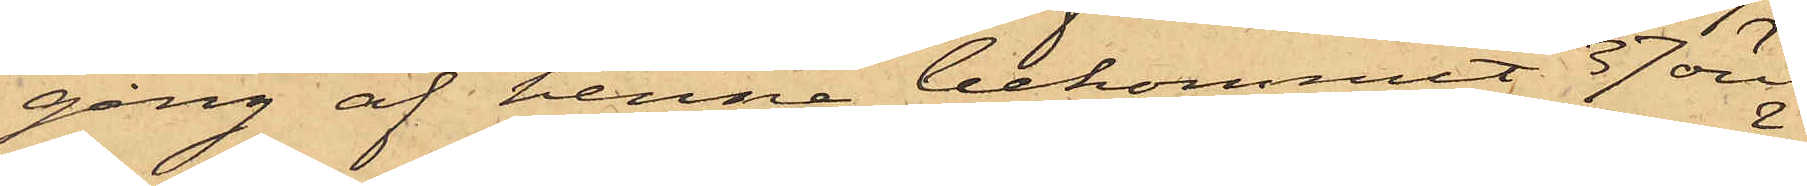gång af henne bekommit 37 öre.
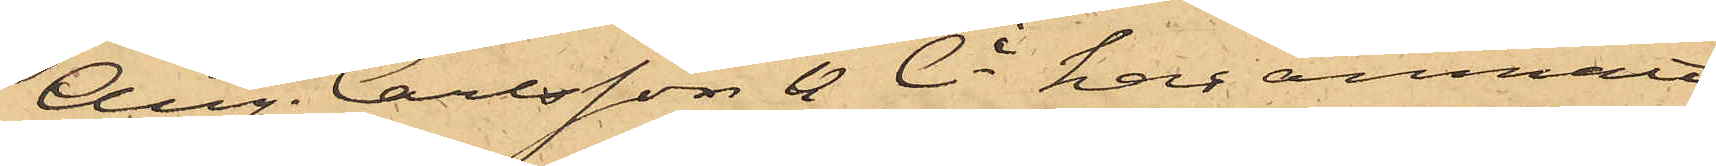Aug. Carlsson & Ci har anmält
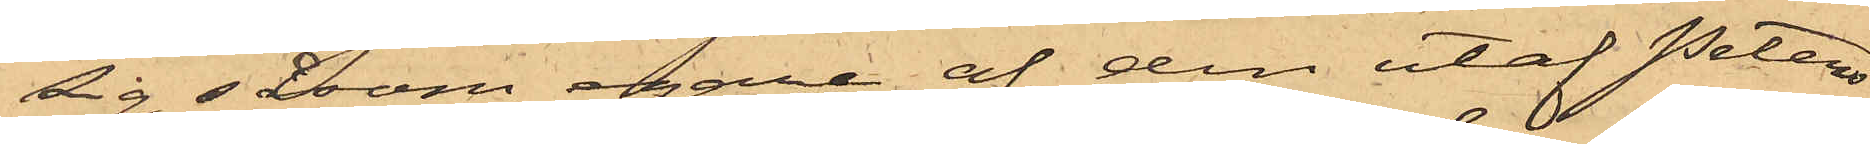sig såsom egare af den utaf Peters¬
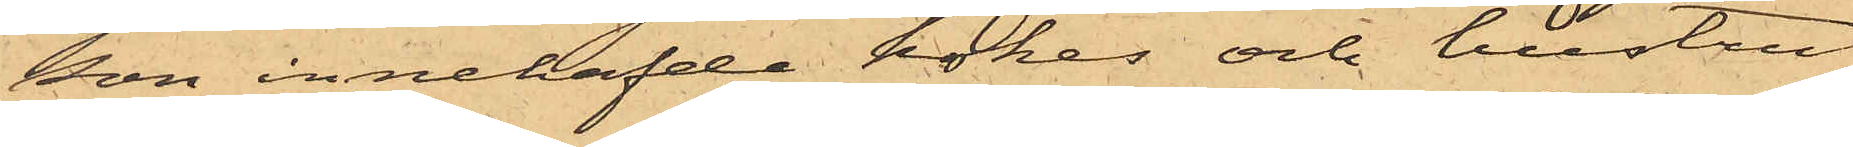son innehafde kokes och hustru
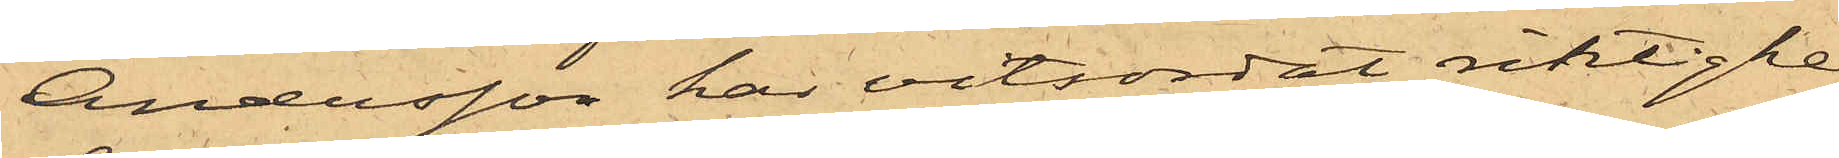Andersson har vitsordat riktighe¬
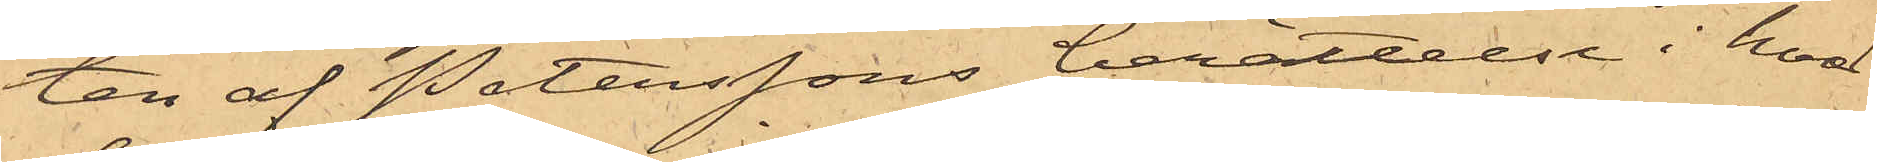ten af Peterssons berättelse i hvad
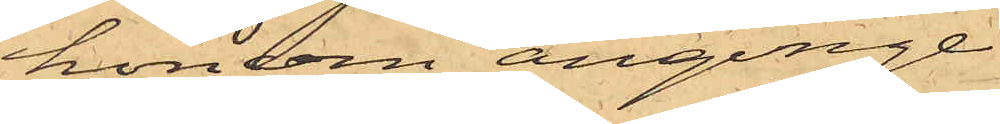honom anginge.
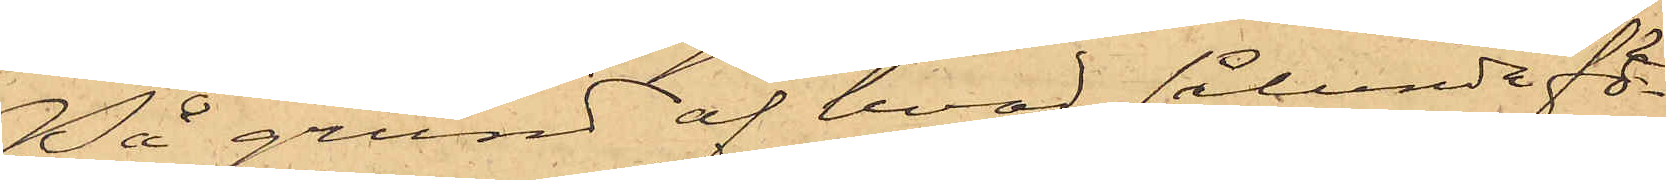På grund af hvad sålunda fö¬
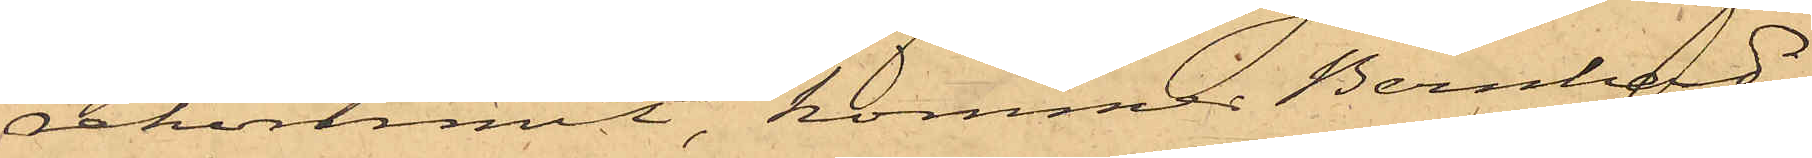rekommit, kommer Bernhard
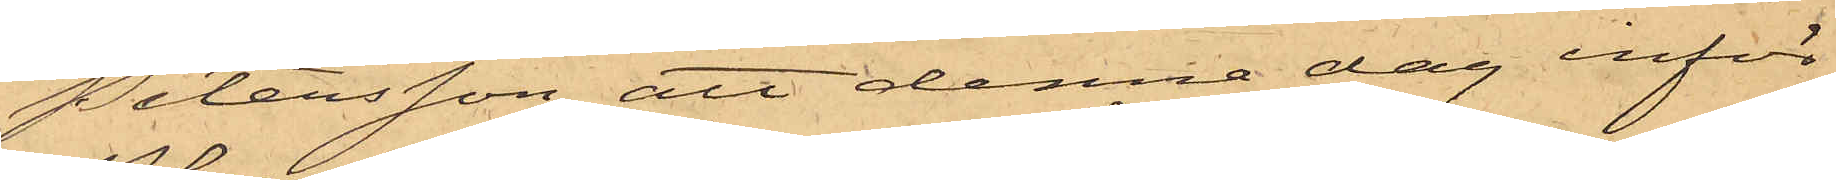Petersson att denna dag inför
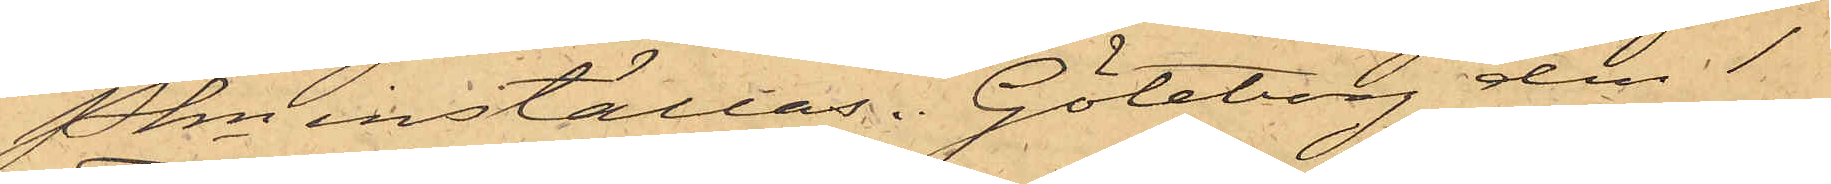Pkn inställas. Göteborg den 1
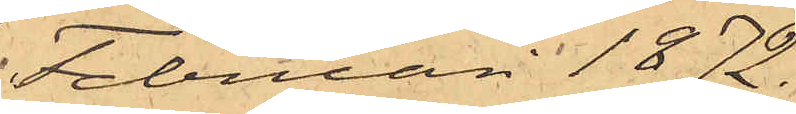Februari 1872.
